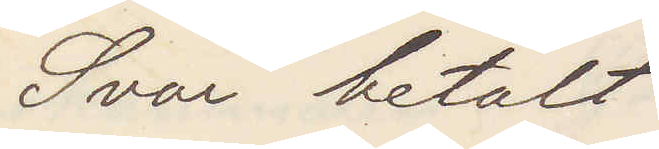Svar betalt
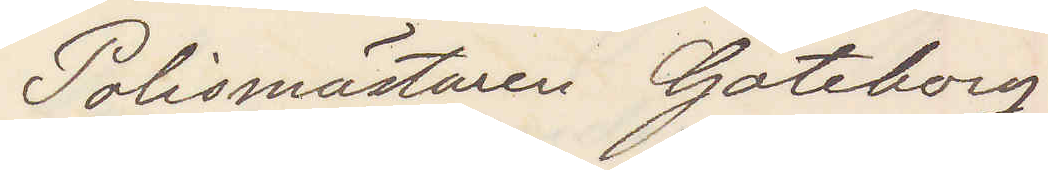Polismästaren Göteborg
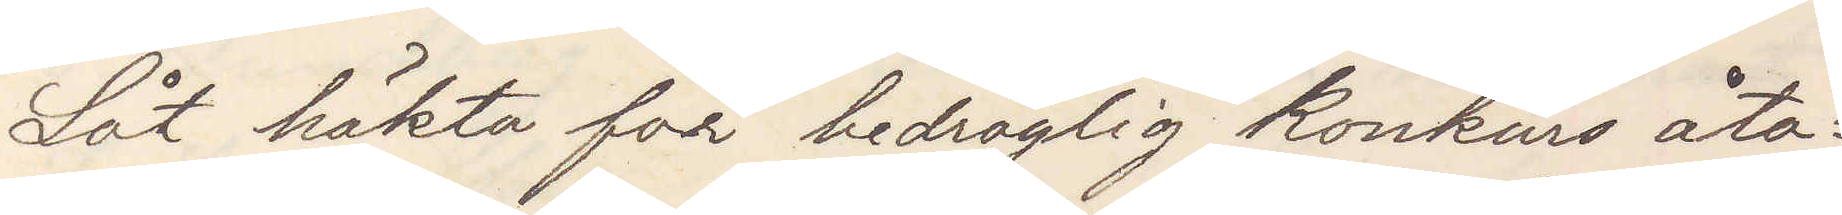Låt häkta för bedräglig konkurs åta¬
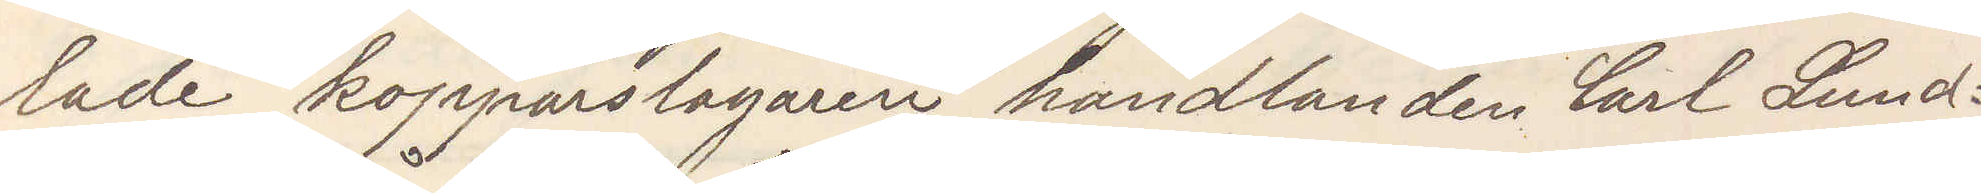lade kopparslagaren handlanden Carl Lund¬
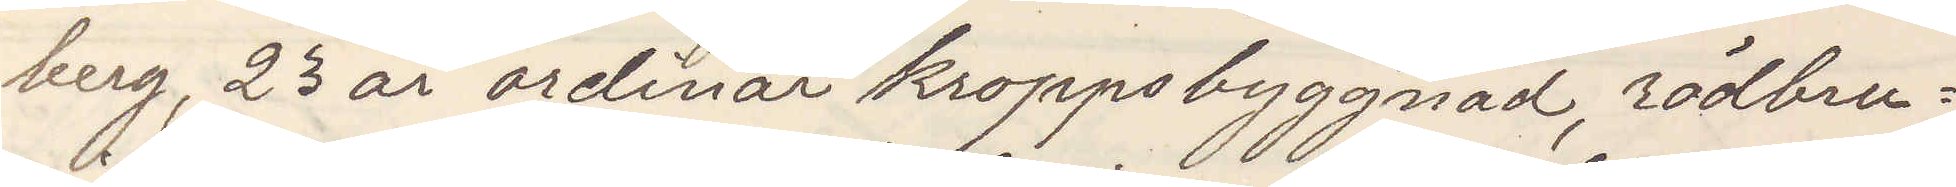berg, 23 år ordinär kroppsbyggnad, rödbru¬
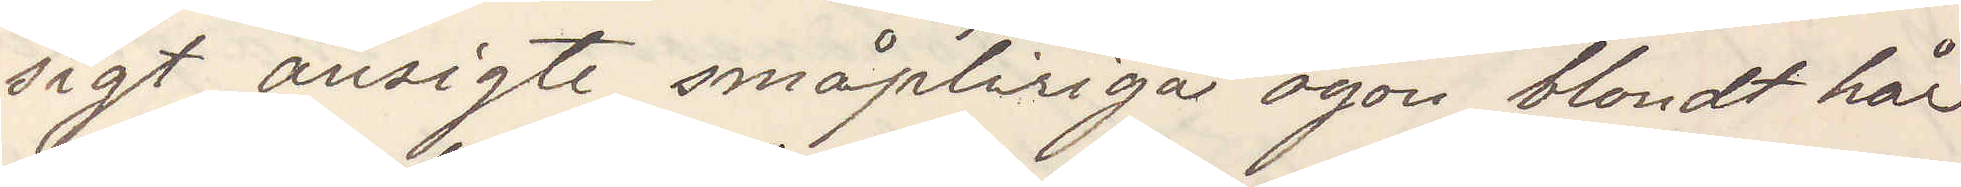sigt ansigte småpliriga ögon blondt hår
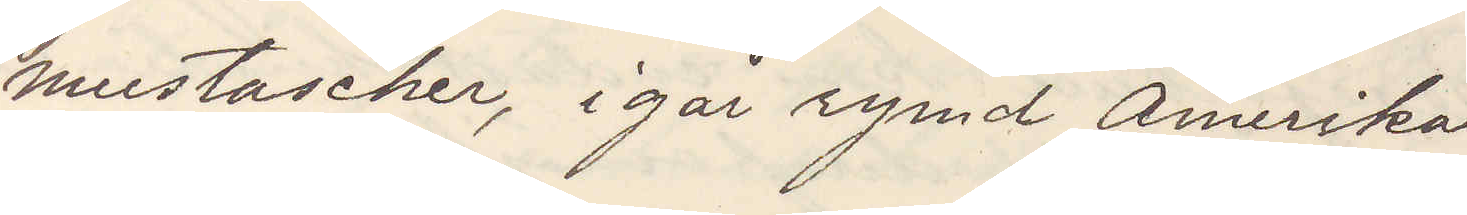mustascher, igår rymd Amerika
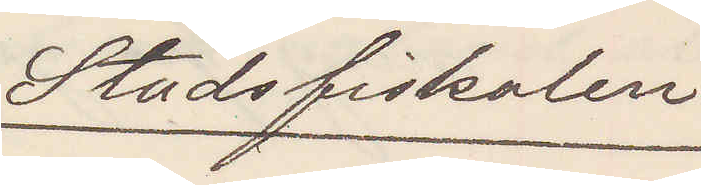Stadsfiskalen
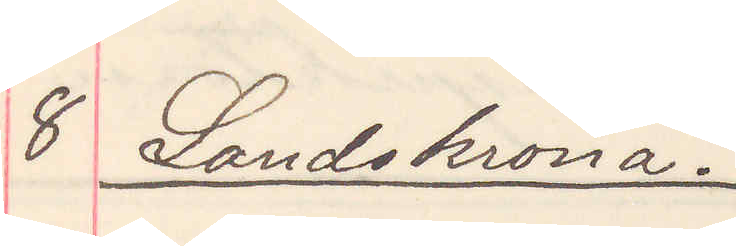8 Landskrona.
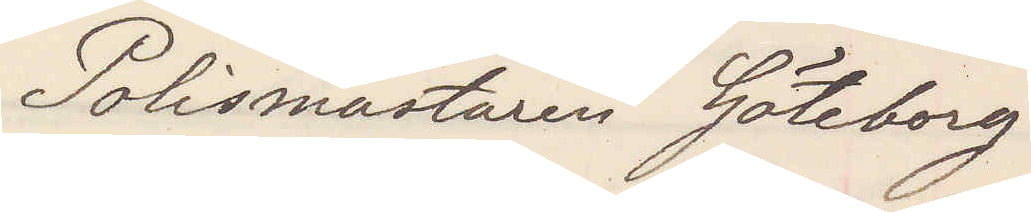Polismästaren Göteborg
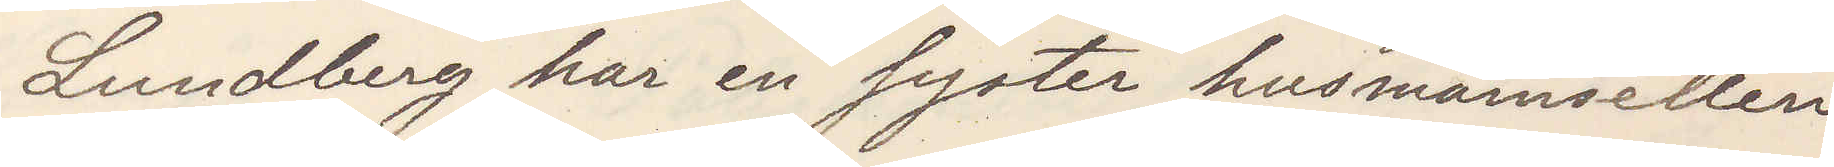Lundberg har en syster husmamsellen
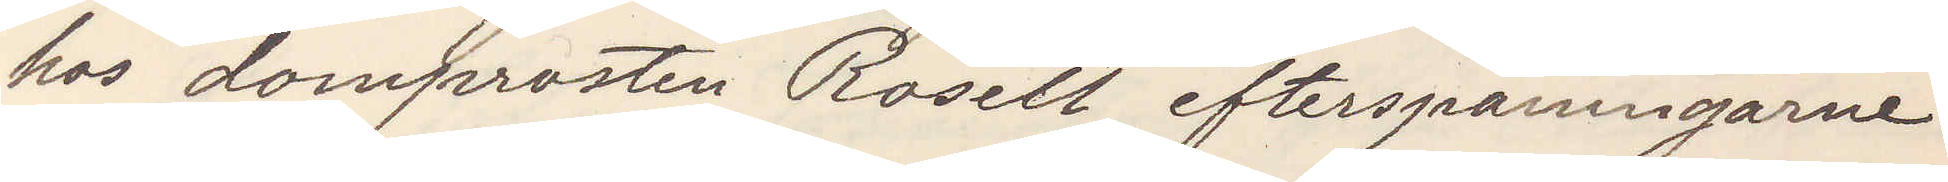hos domprosten Rosell efterspaningarne
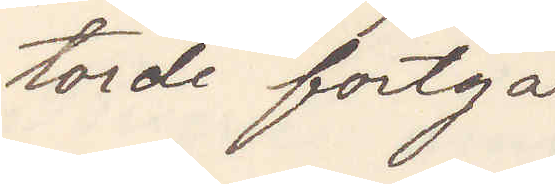torde fortgå
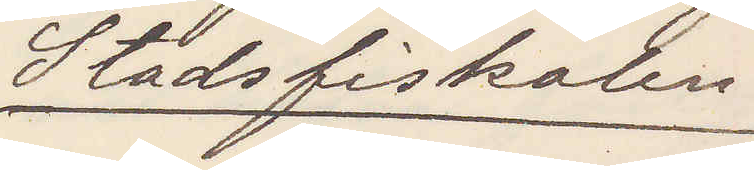Stadsfiskalen
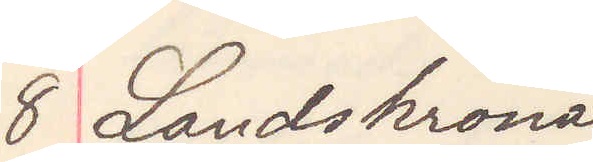8 Landskrona
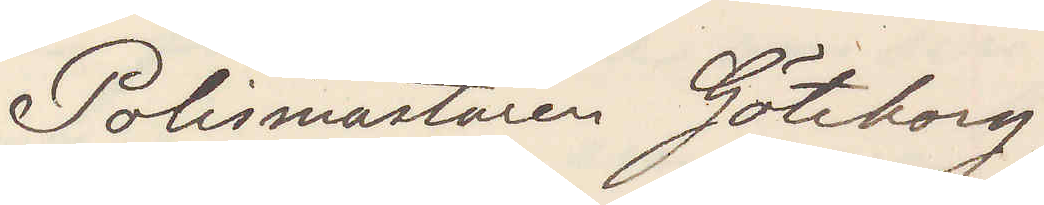Polismästaren Göteborg
